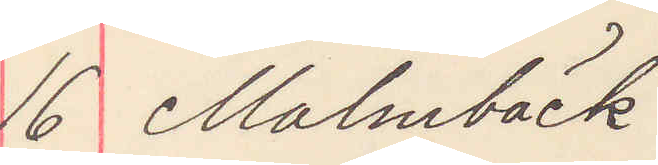16 Malmbäck
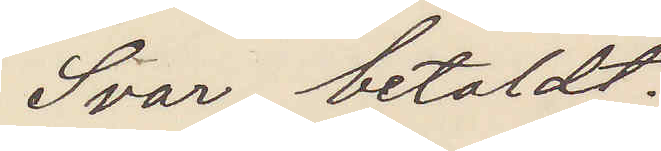Svar betalt.
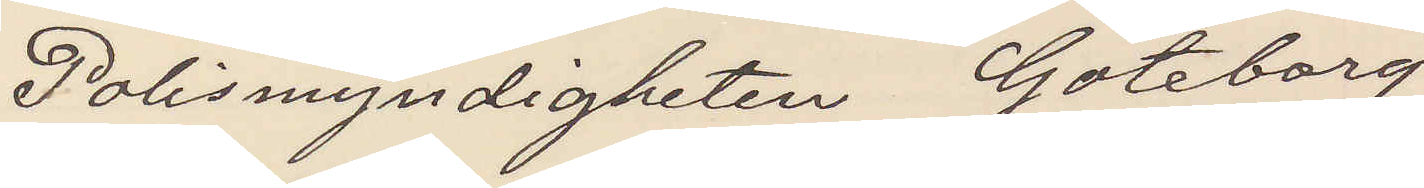Polismyndigheten Göteborg
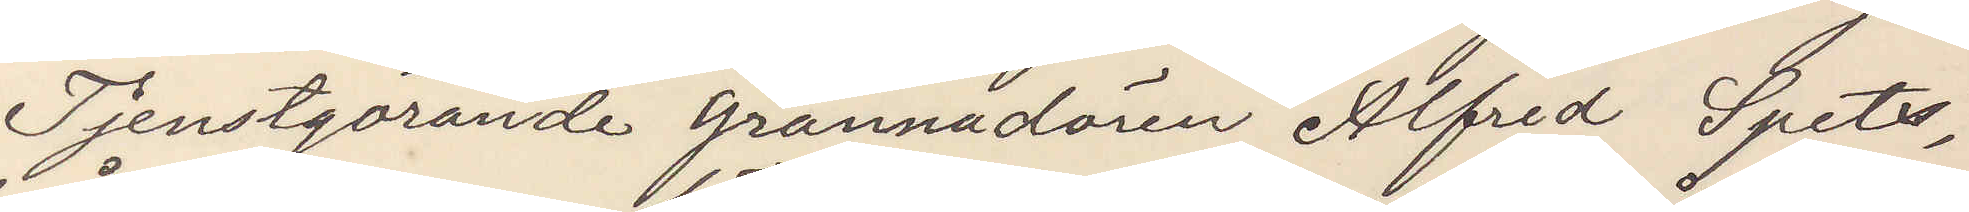Tjenstgörande grannadören Alfred Spets,
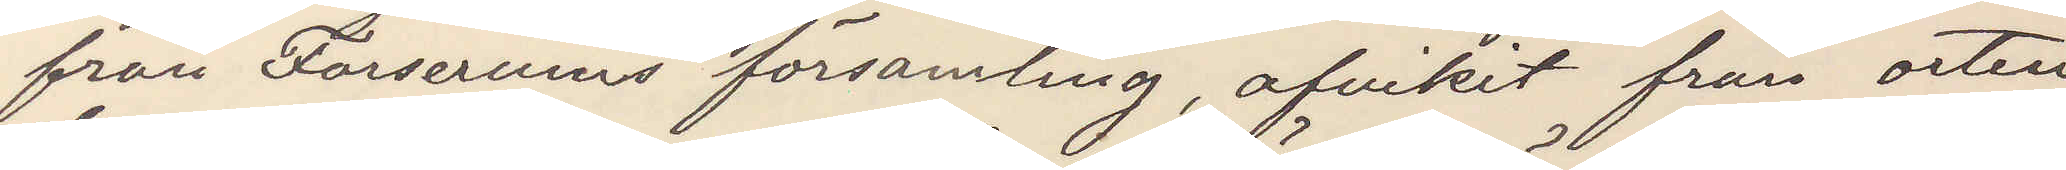från Forserums församling, afvikit från orten,
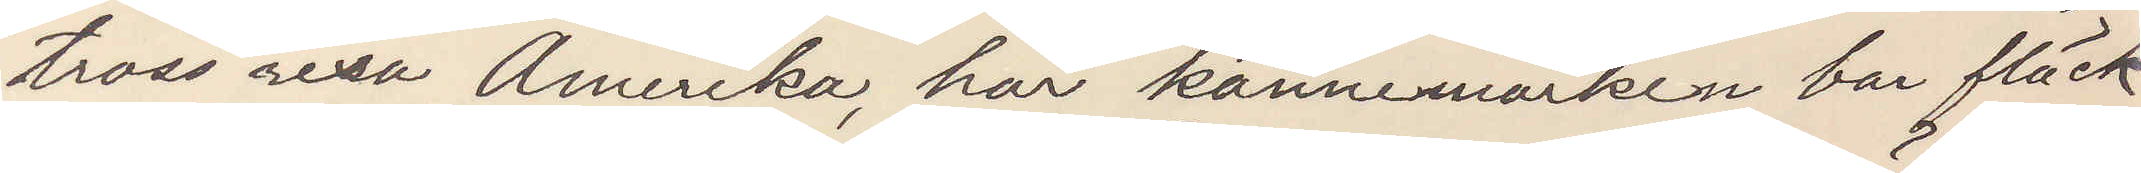tross resa Amerika, har kännemärken bar fläck
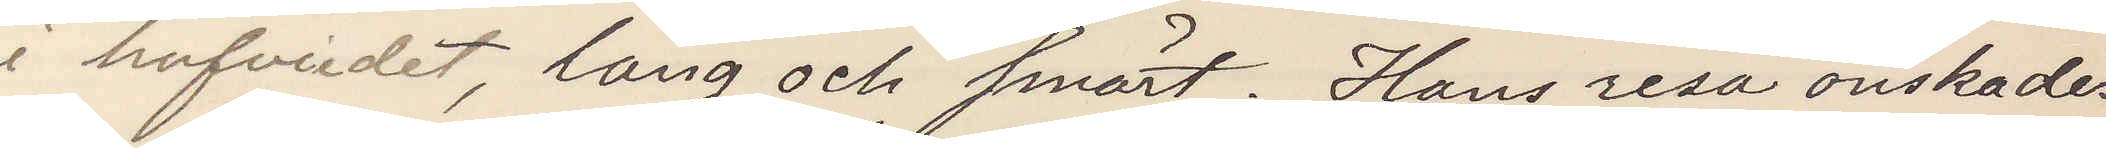i hufvudet, lång och smärt. Hans resa önskades
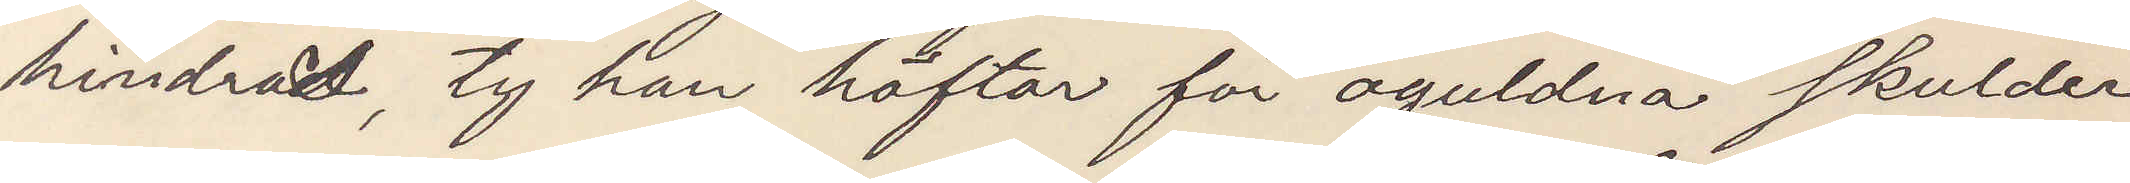hindrad ty, han häftar för oguldna skulder.
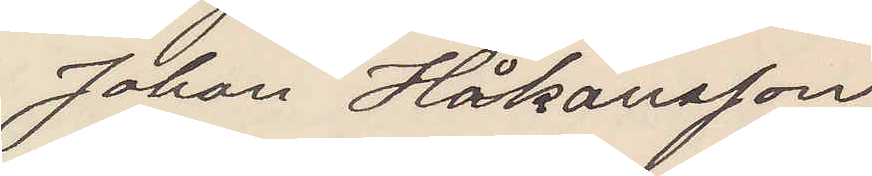Johan Håkansson
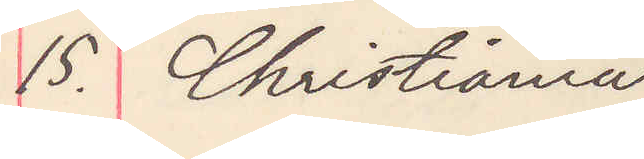15. Christiania
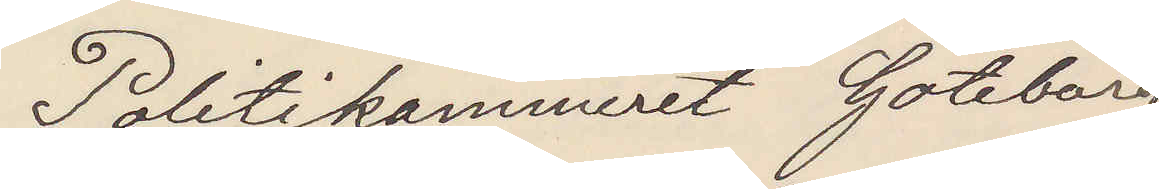Politikammeret Göteborg
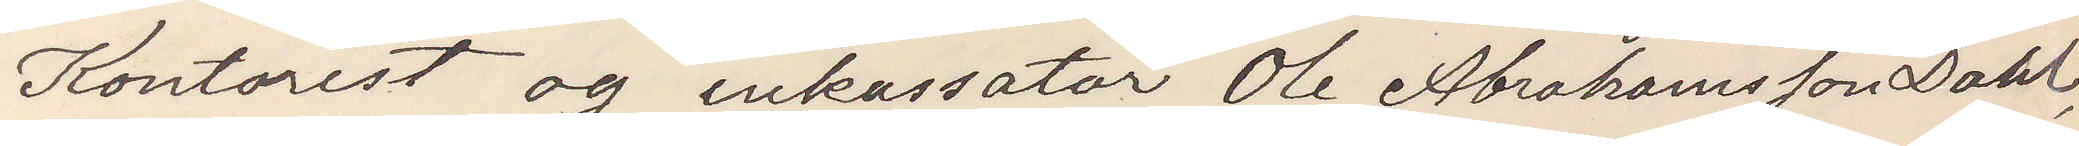Kontorist og inkassator Ole Abrahamsson Dahl,
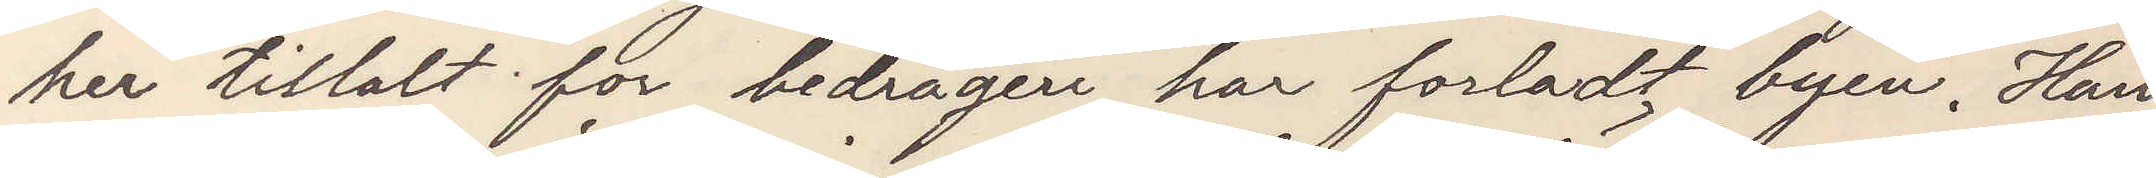her tiltalt for bedrägeri, har forladt byen. Han
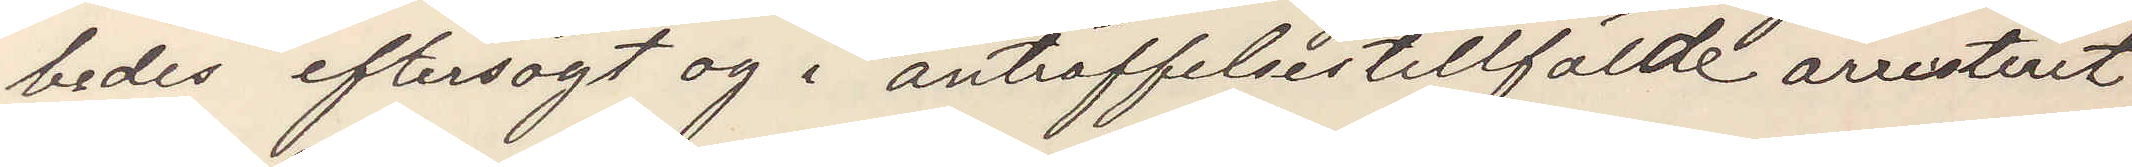bedes eftersögt og i anträffelsestillfälde arresteret
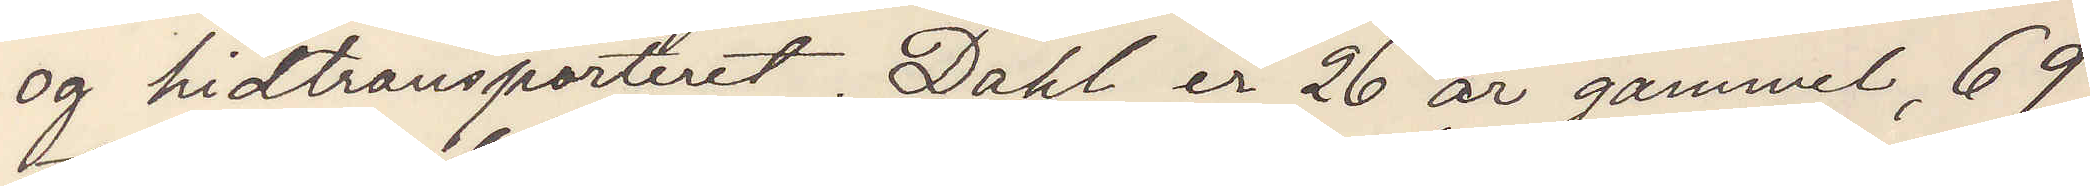og hittransporteret. Dahl er 26 ar gammel, 69
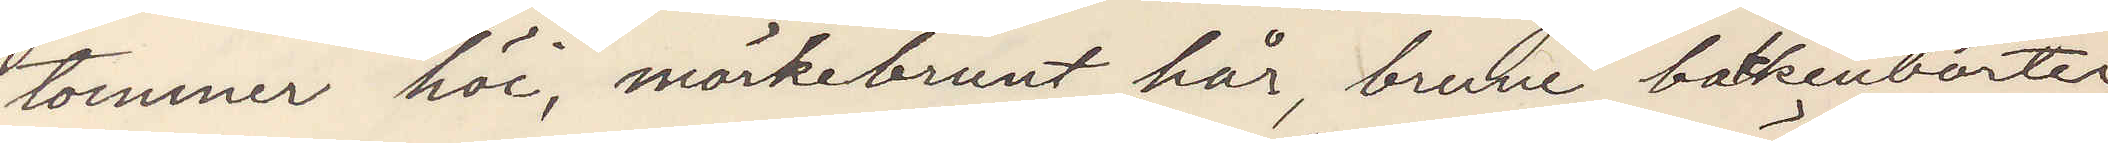tommer höi, mörkbrunt hår, brune bakkenborter,
